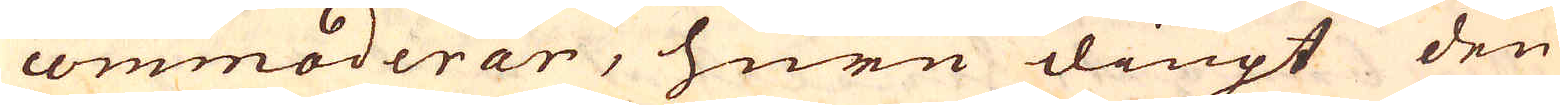commoderar, huru diupt den
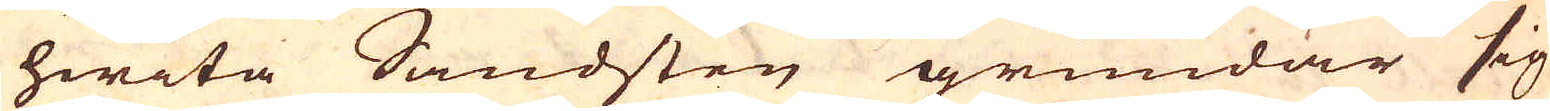hwita Sandsten grundar sig
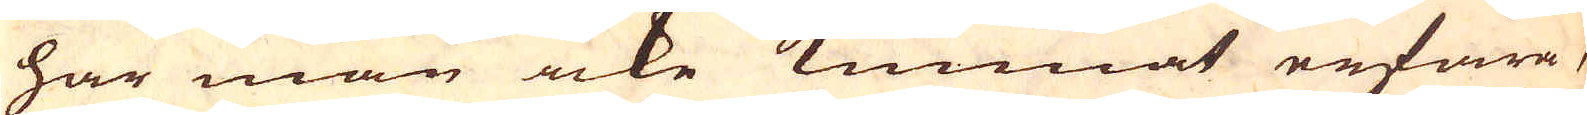har man icke kunnat erfara,
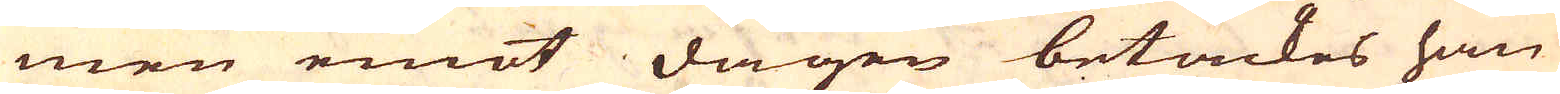men emot dagen betäckes han
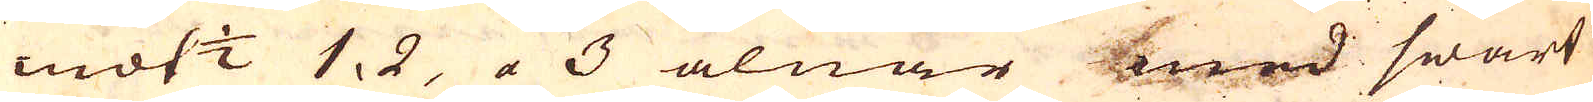mot 1/2 1, 2, a 3 alnar med swart
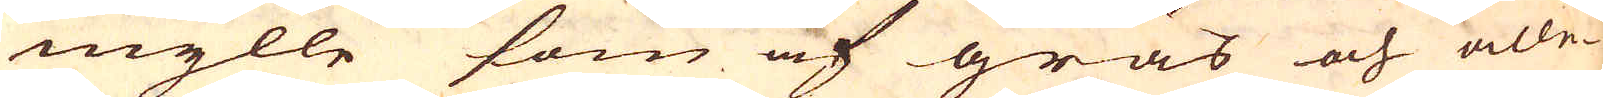mylle som af gräs och alle-
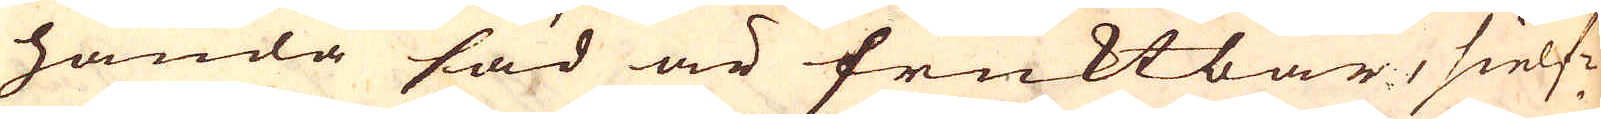handa säd är fruktbar, sielf-
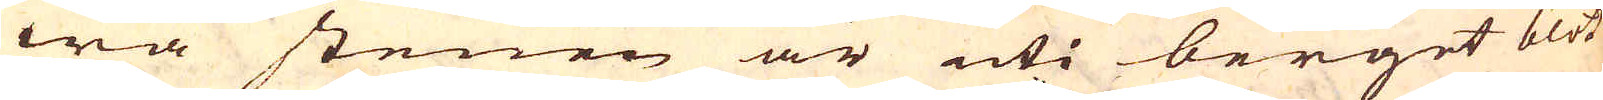wa stenen är uti berget blöt
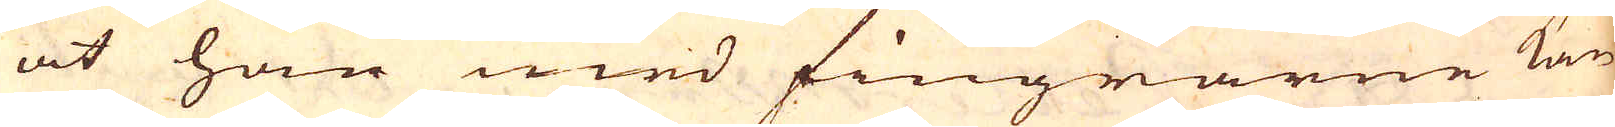at han med fingrarne kan
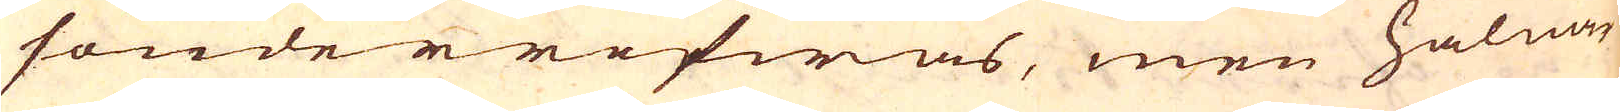sönderrifwas, men hålmar
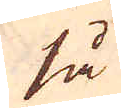så
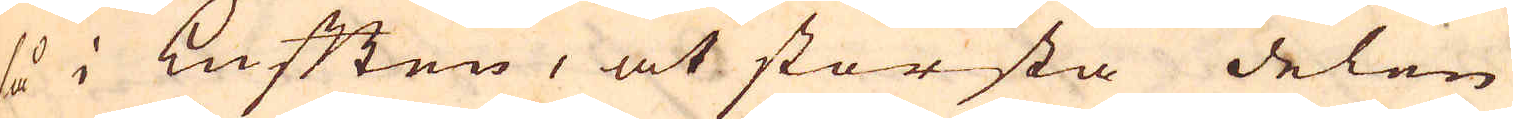så i Luften, at största delen
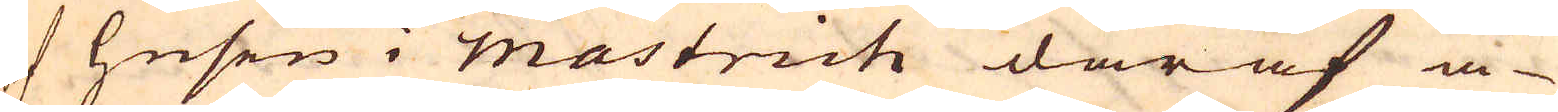af Husen i Mastrich däraf ä-
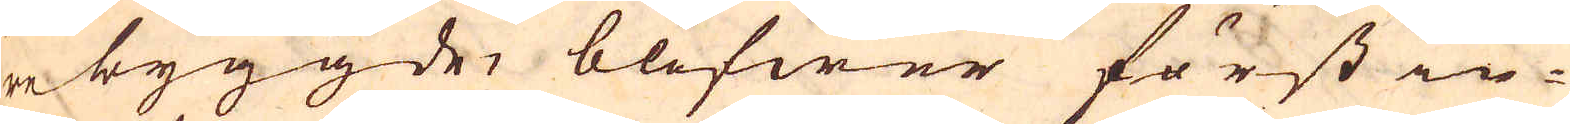re byggde, blifwer först in-
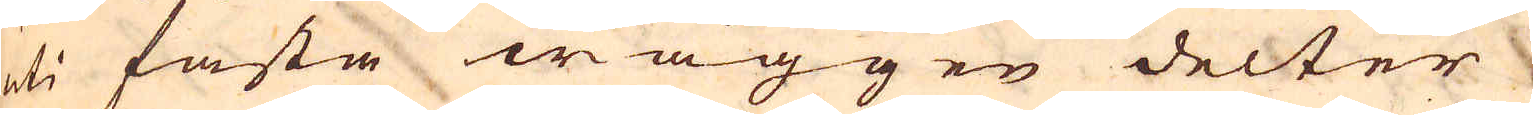uti fasta wäggen delter
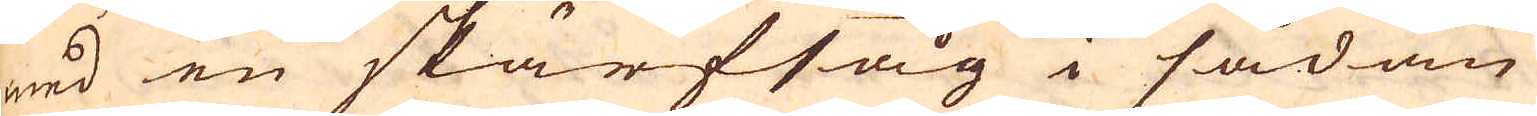med en skärfsåg i sådan
